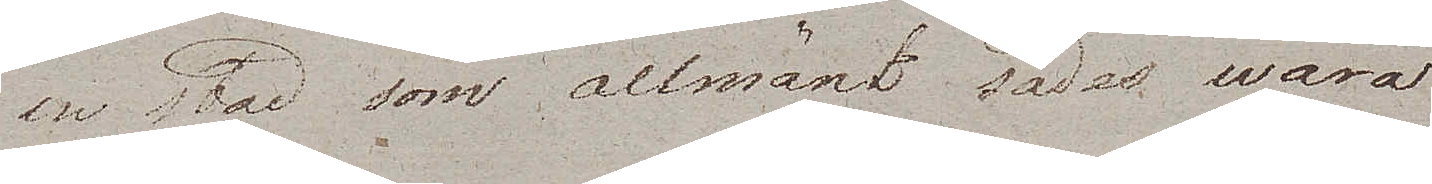en stad som allmänt sades wara
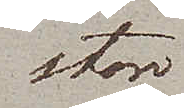stor
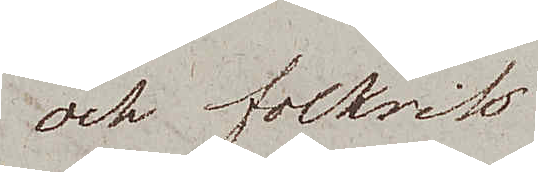och folkrik
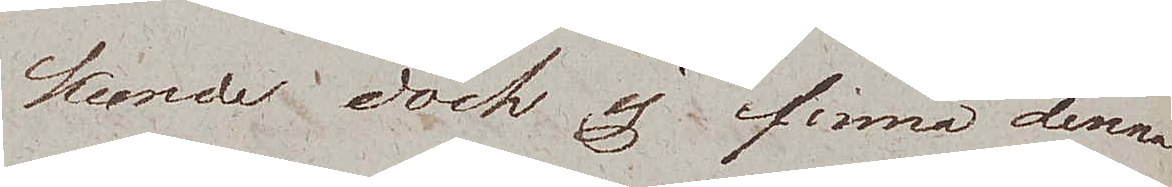kunde dock ej finna denna
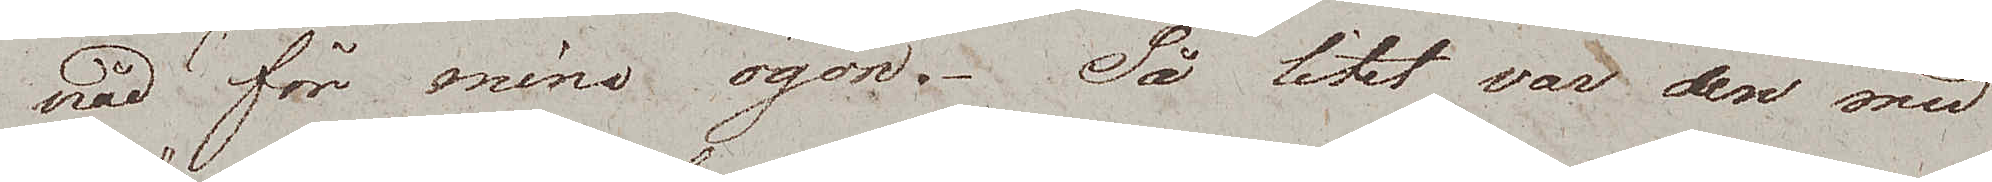nåd för mina ögon. Så litet var den med
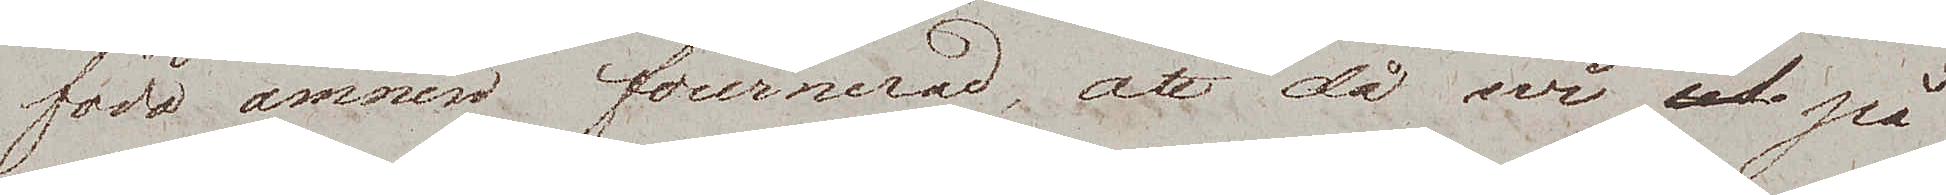födoämnen fournerad, att då wi på
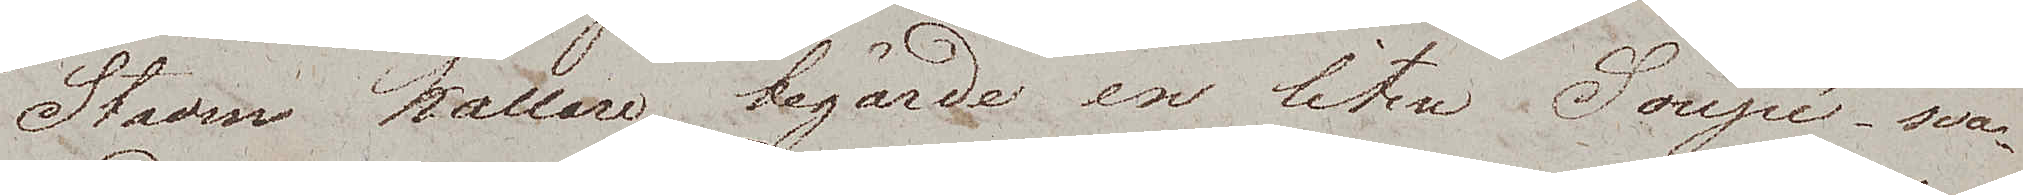Staden källare begärde en liten Soupé, sva¬
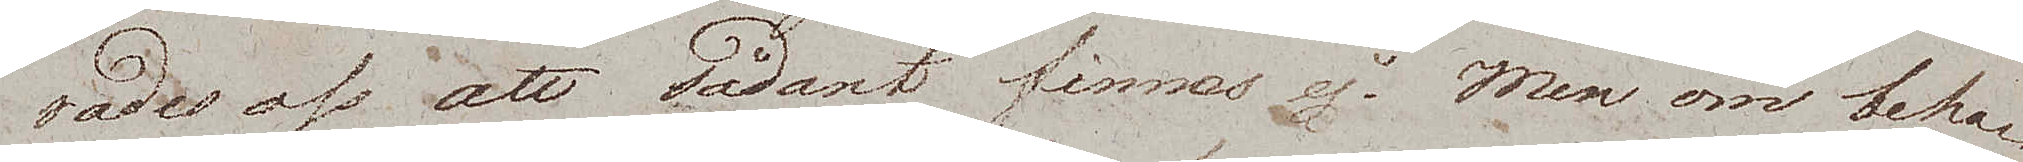rades oss att sådant finnes ej. Men om beha¬
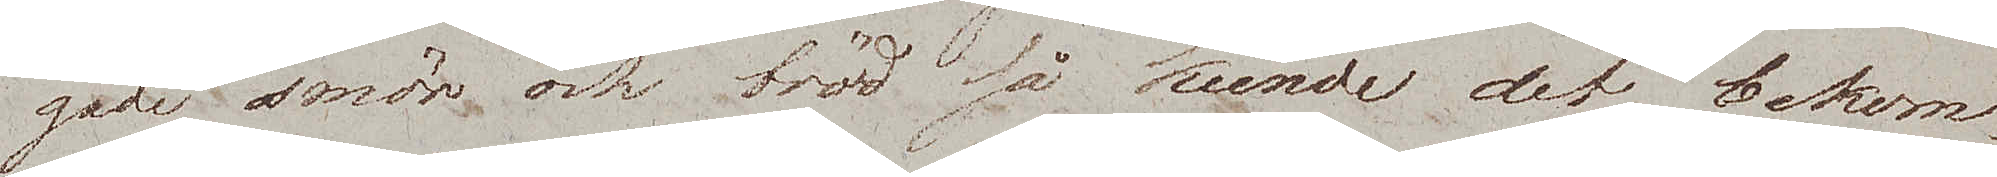gade smör och bröd så kunde det bekom¬
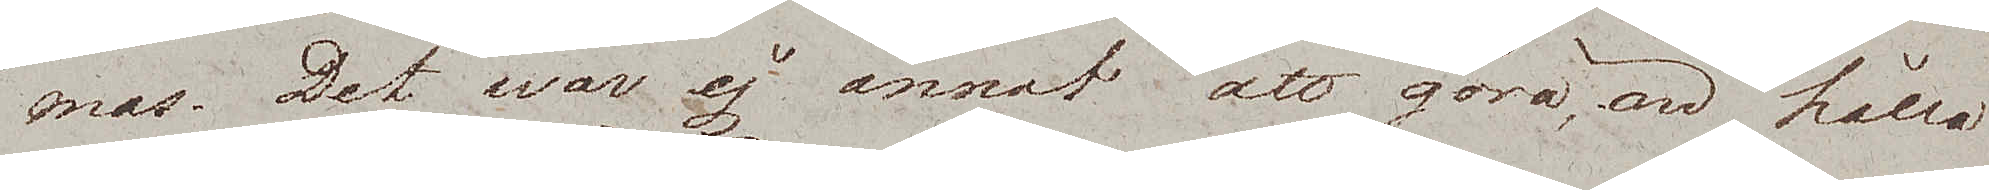mas. Det war ej annat att göra, än hålla
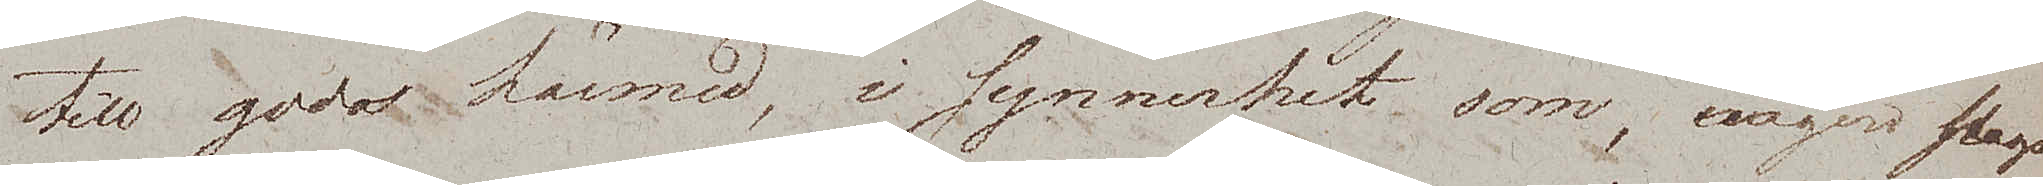till godo härmed, i synnerhet som, någon slags
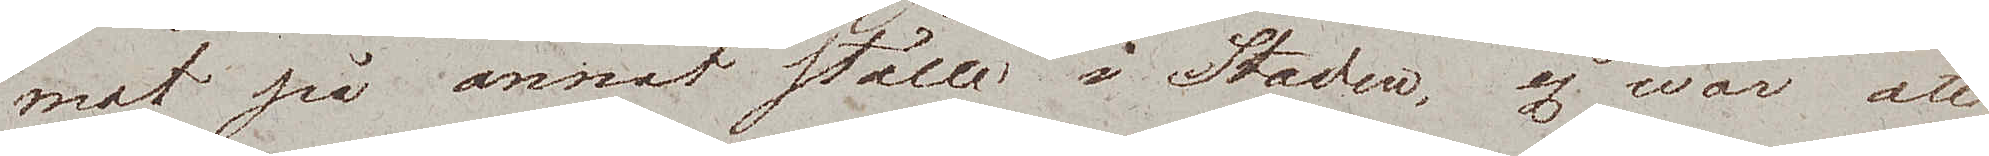mat på annat ställe i Staden, ej war att
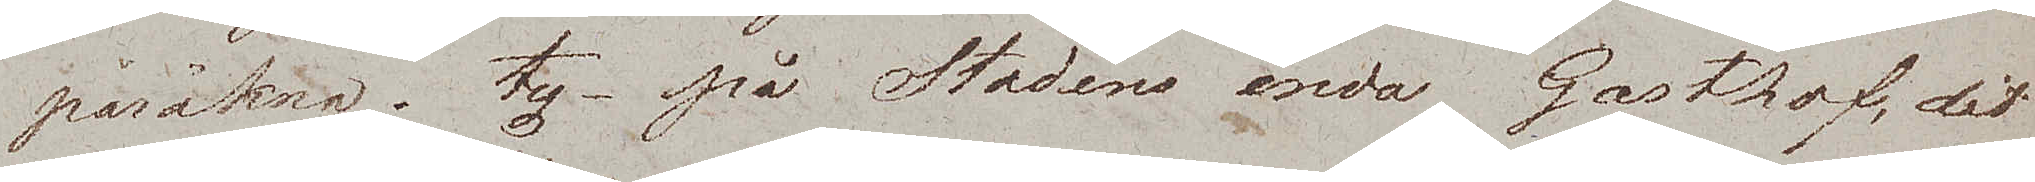påräkna, ty – på Stadens enda Gasthof, dit
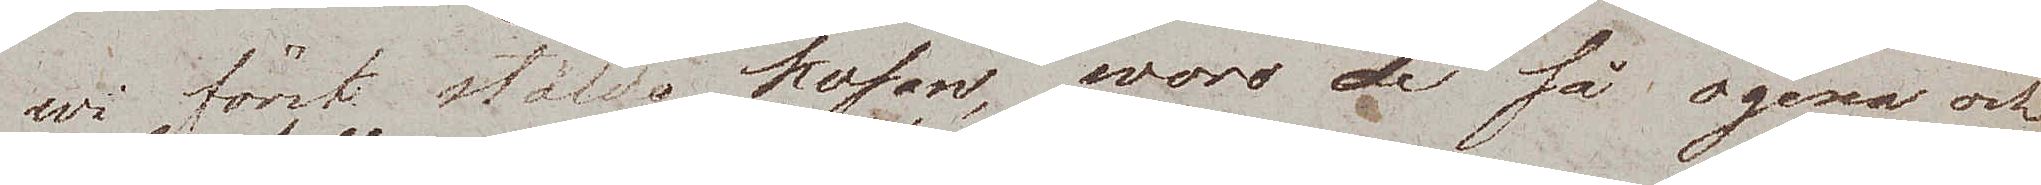wi först stälde kosan, woro de så ogena och
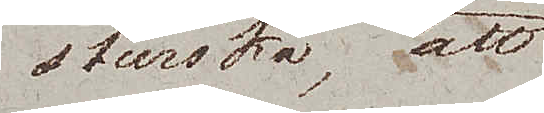sturska, att
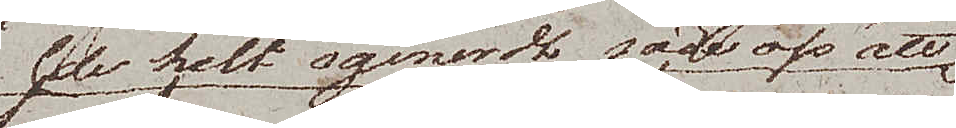de helt ogeneradt sade oss att
